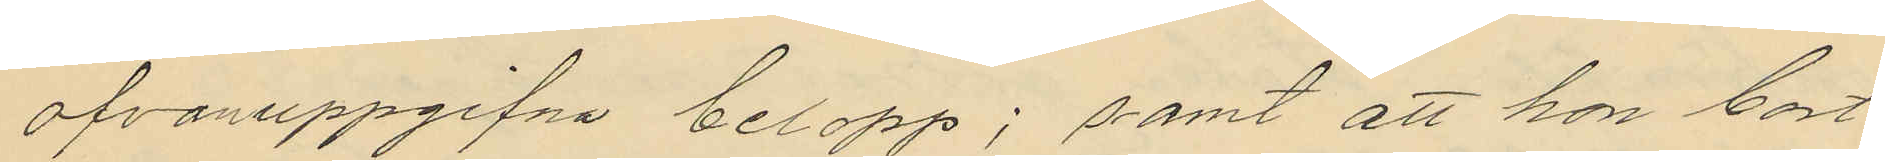ofvanuppgifna belopp; samt att hon bort¬
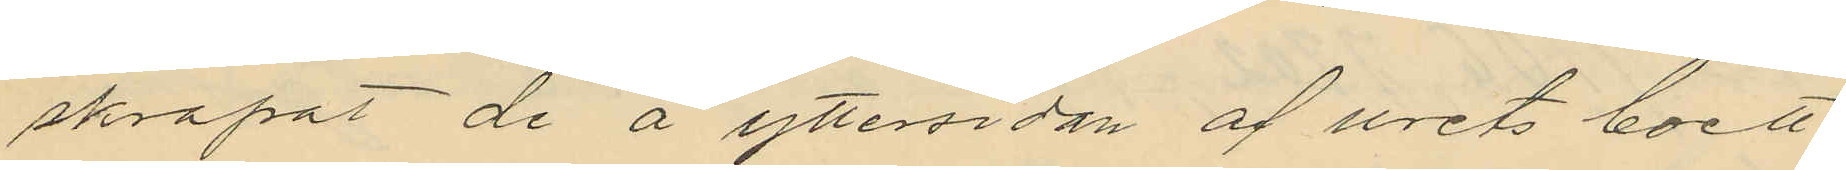skrapat de å yttersidan af urets boett
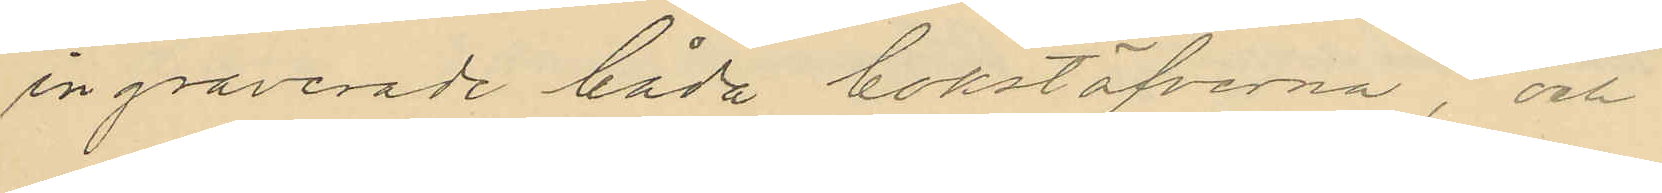ingraverade båda bokstäfverna, och
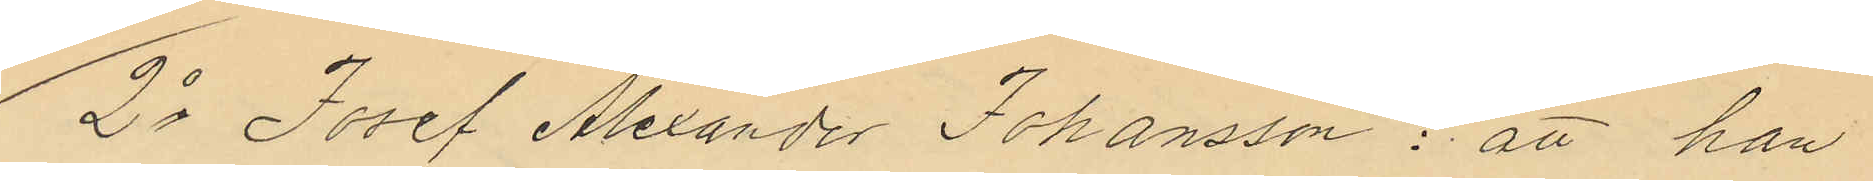2o Josef Alexander Johansson: att han
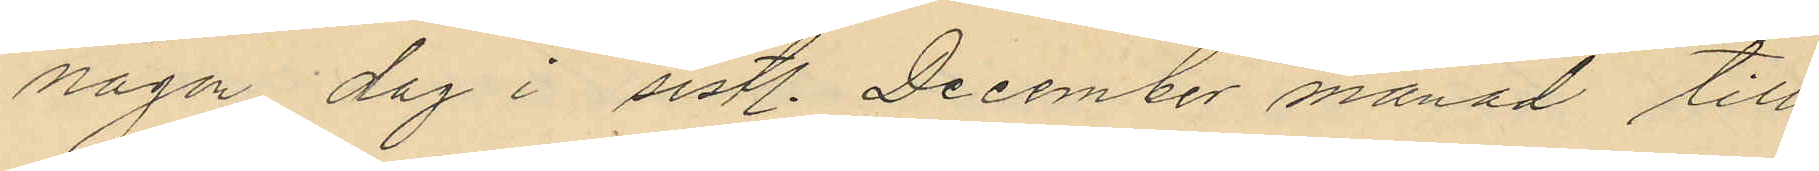någon dag i sistl. December månad till
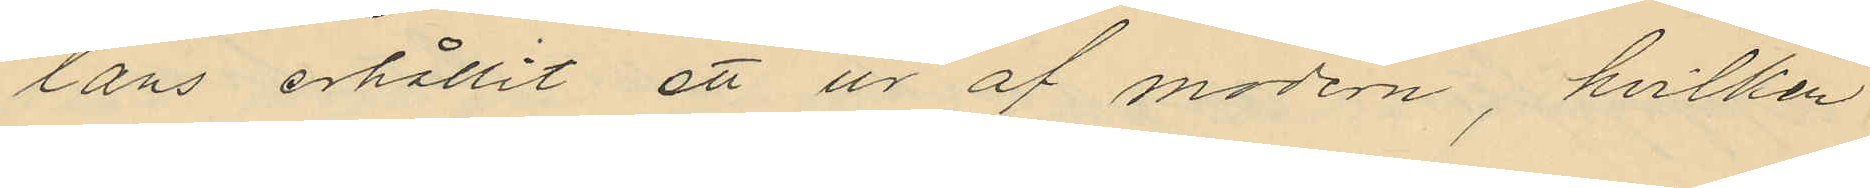låns erhållit ett ur af modern, hvilken
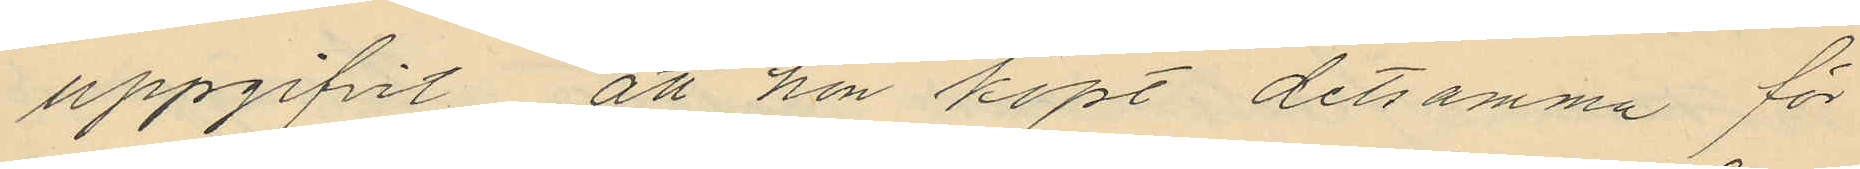uppgifvit att hon köpt detsamma för
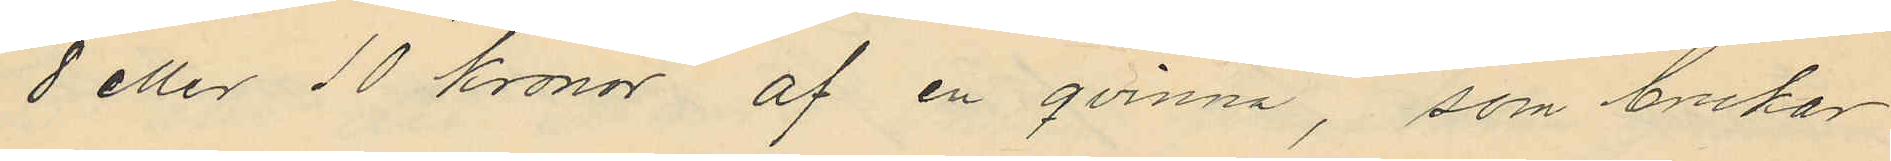8 eller 10 kronor af en qvinna, som brukar
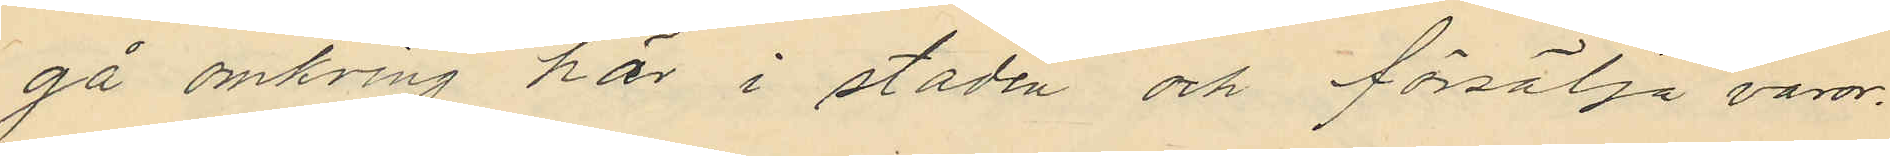gå omkring här i staden och försälja varor.
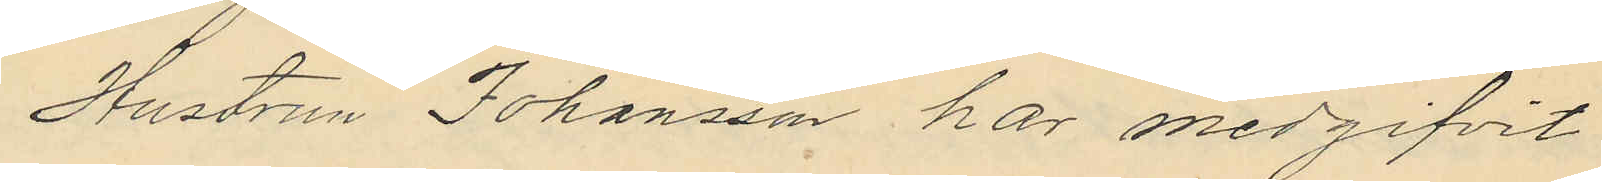Hustrun Johansson har medgifvit
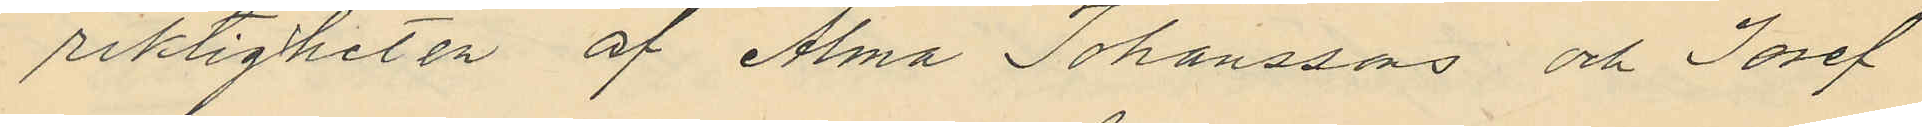riktigheten af Alma Johanssons och Josef
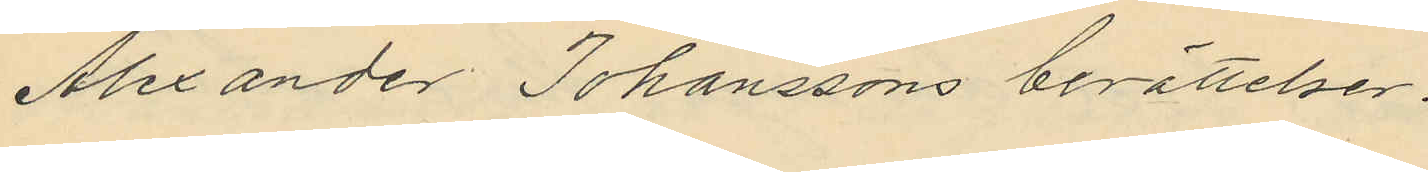Alexander Johanssons berättelser.
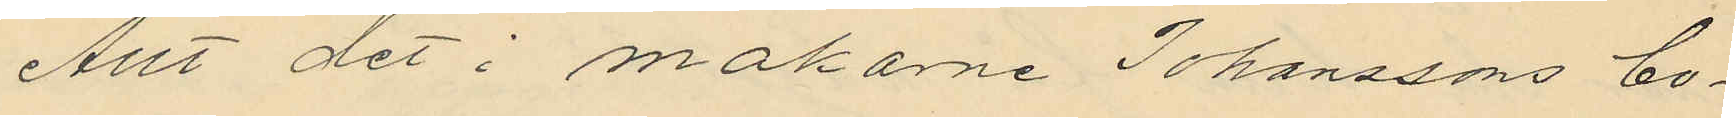Allt det i makarne Johanssons bo¬
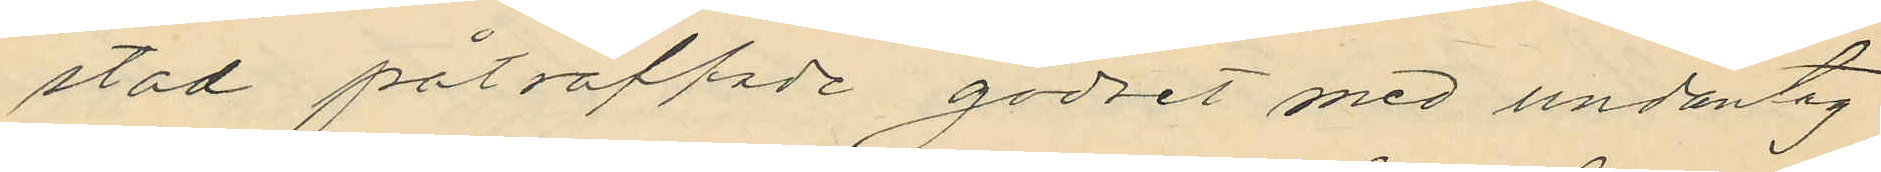stad påträffade godset med undantag
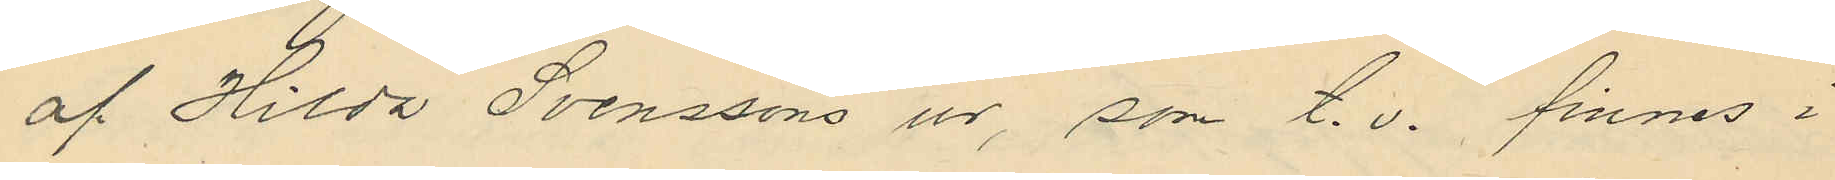af Hilda Svenssons ur, som t. v. finnes i
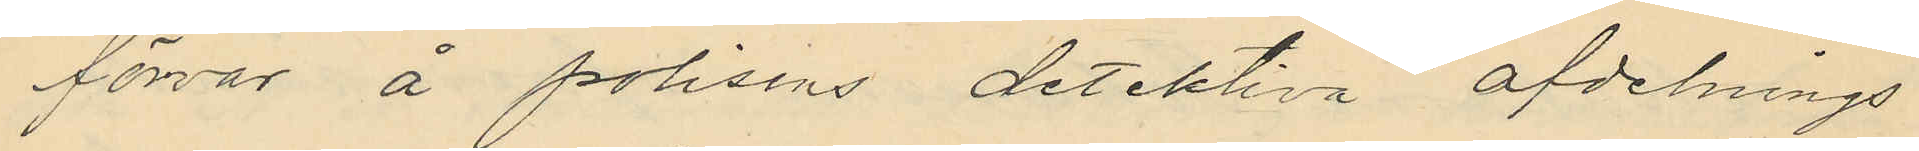förvar å polisens detektiva afdelnings
